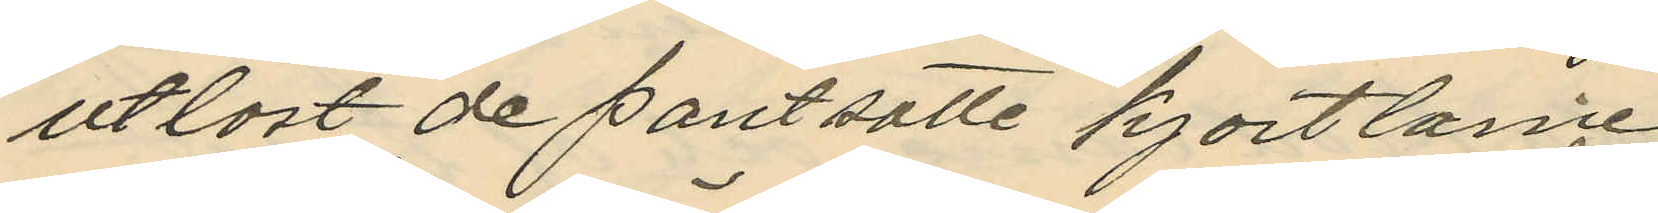utlöst de pantsatte kjortlarne.
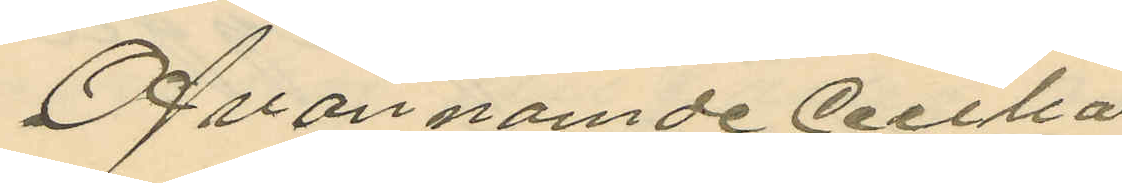Ofvannämde Cecilia
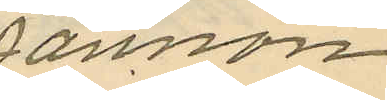Jansson
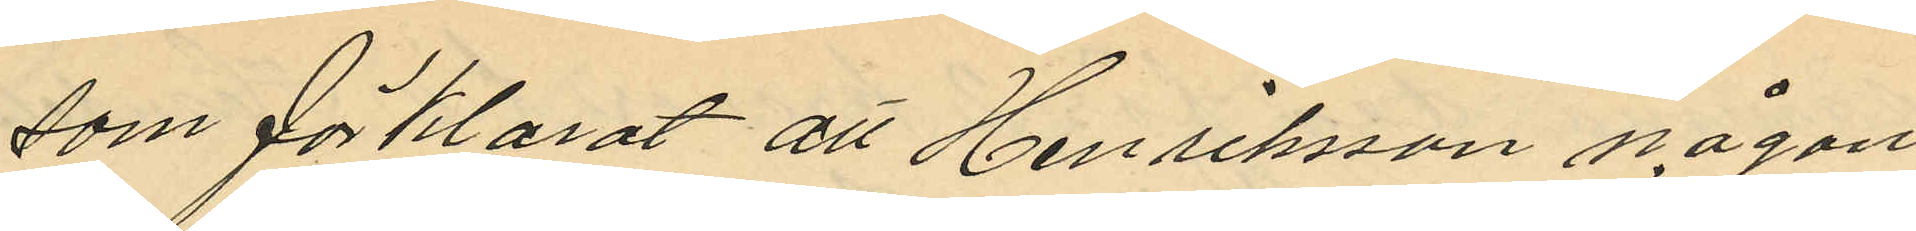som förklarat att Henriksson någon
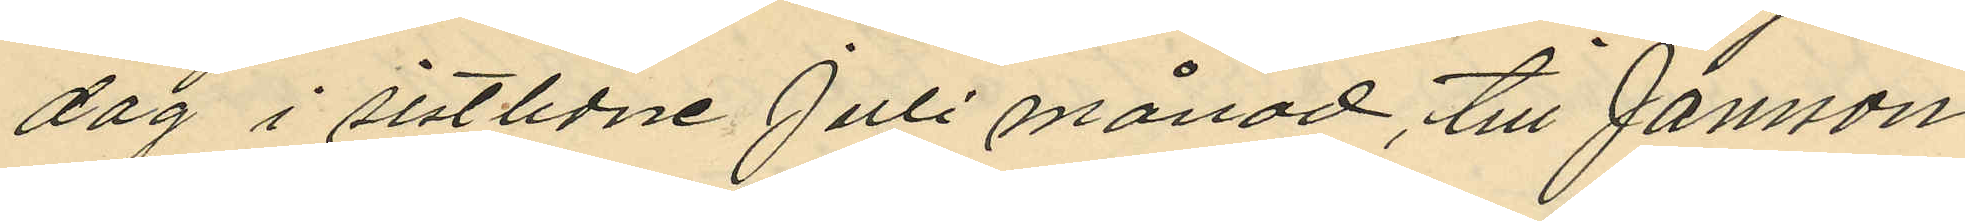dag i sistlidne Juli månad, till Jansson
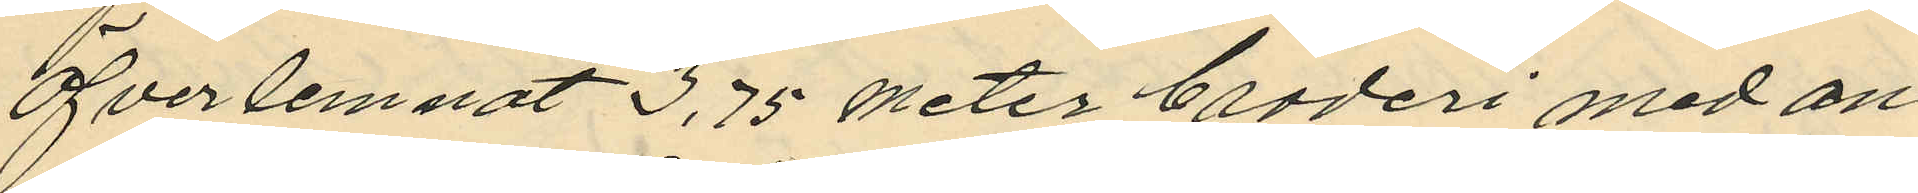öfverlemnat 3,75 meter broderi med an
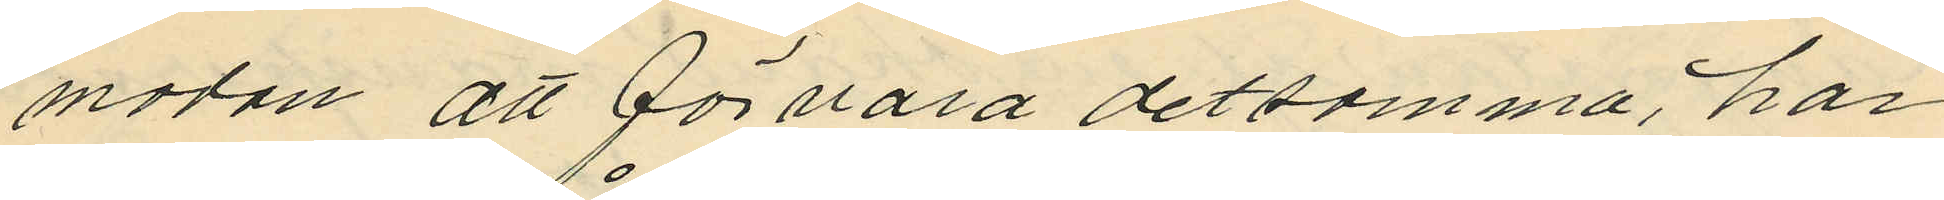modan att förvara detsamma, har
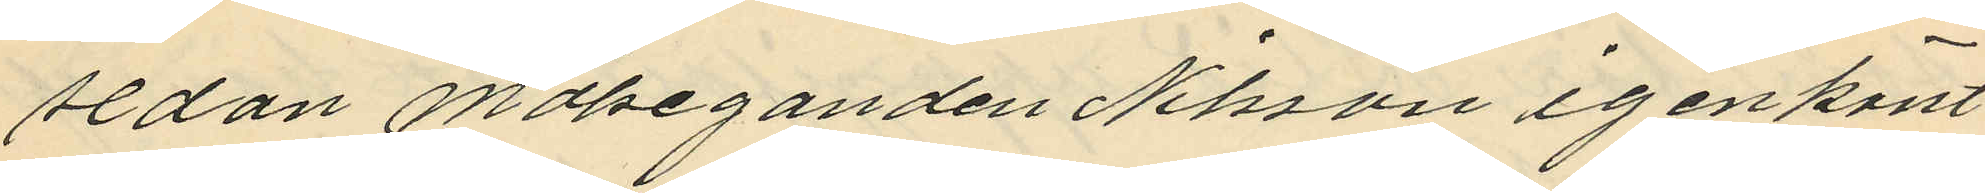sedan målseganden Nilsson igenkänt
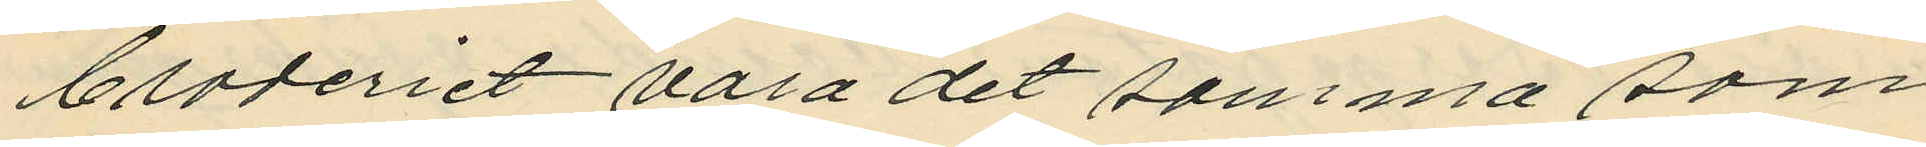broderiet vara det samma som
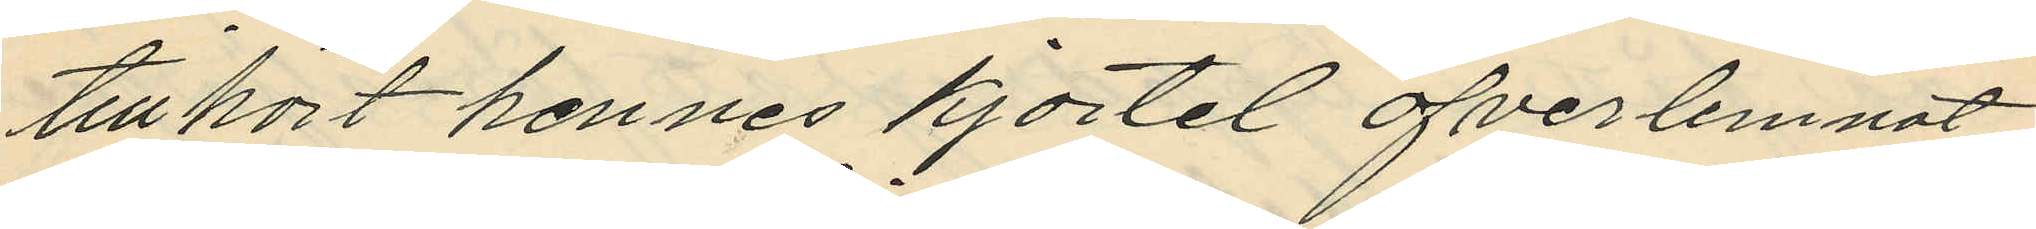tillhört hennes kjortel öfverlemnat
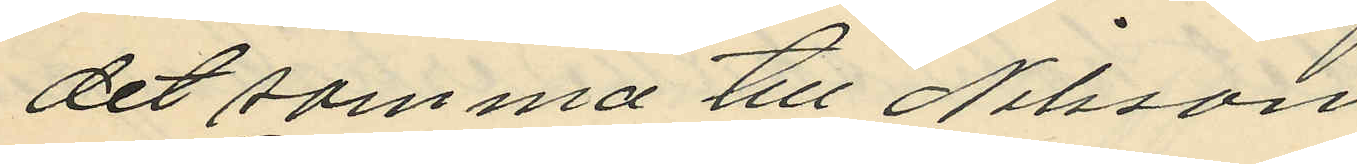det samma till Nilsson
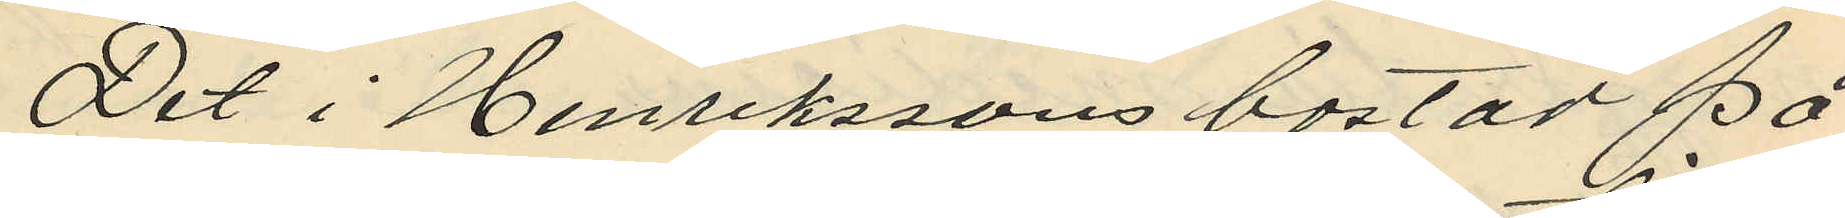Det i Henrikssons bostad på
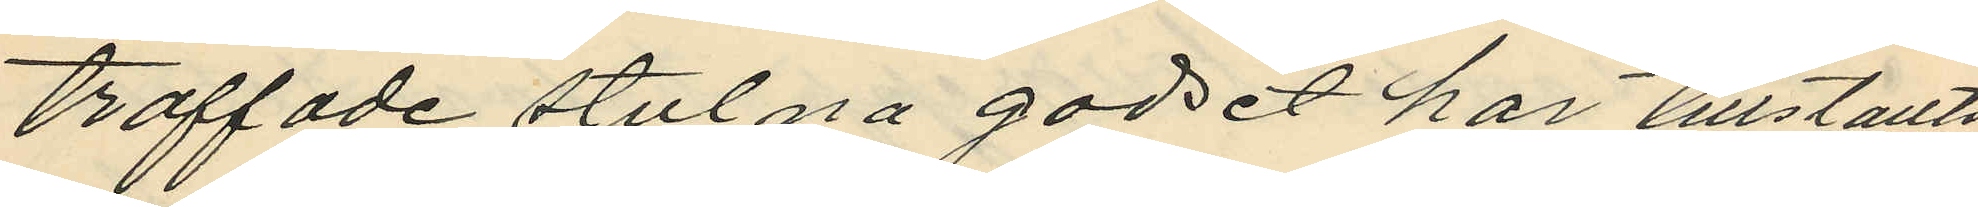träffade stulna godset har tillställts
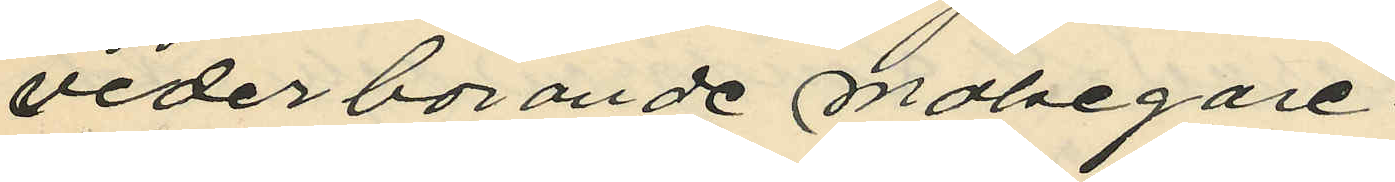vederbörande målsegare.
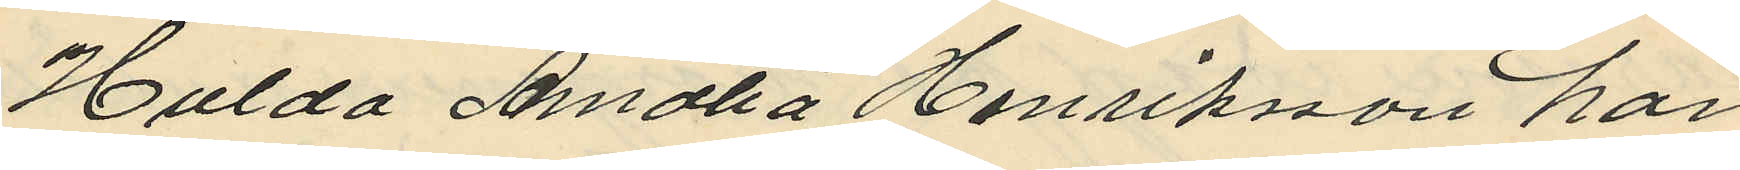Hulda Amalia Henriksson har
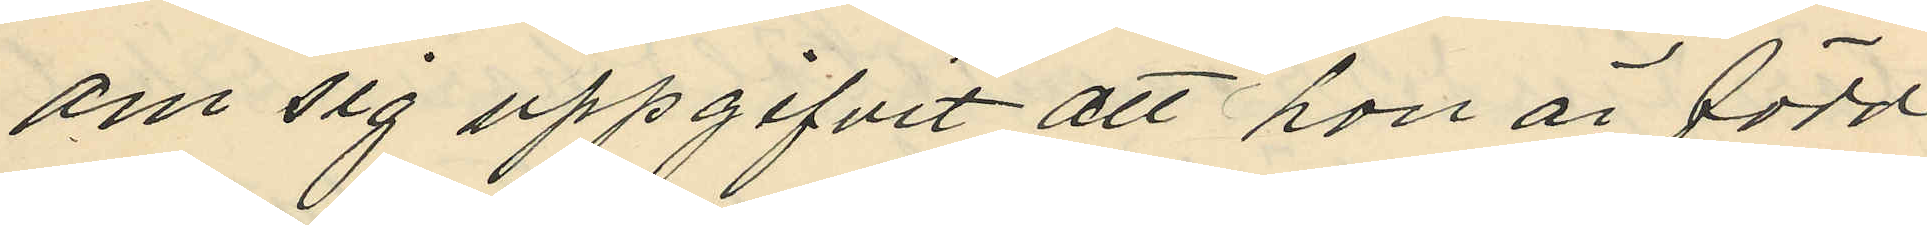om sig uppgifvit att hon är född
